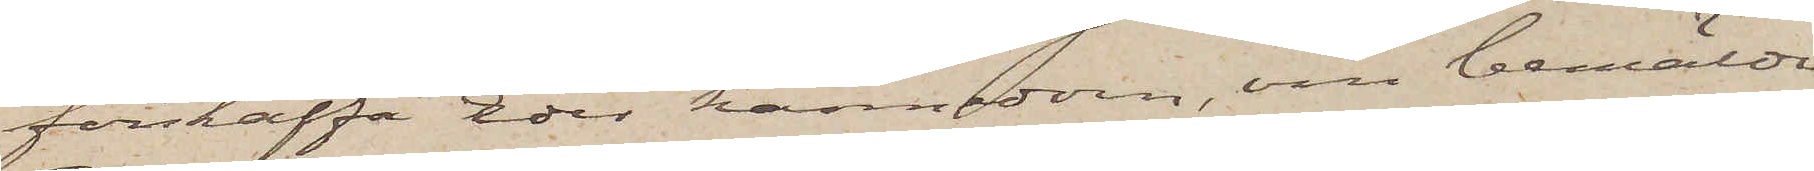förskaffa Eder kännedom, om bemälda
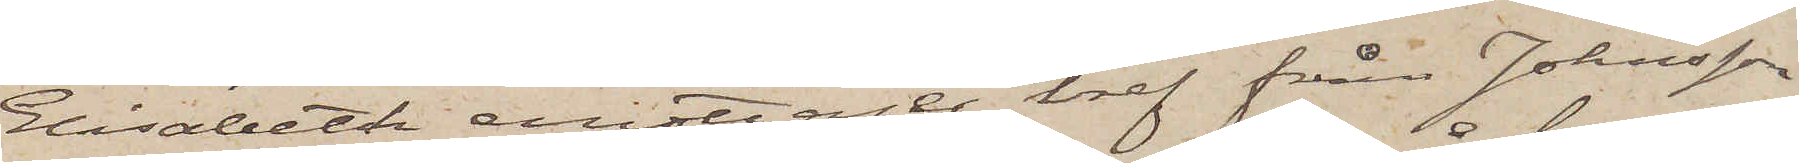Elisabeth emottager bref från Johnsson
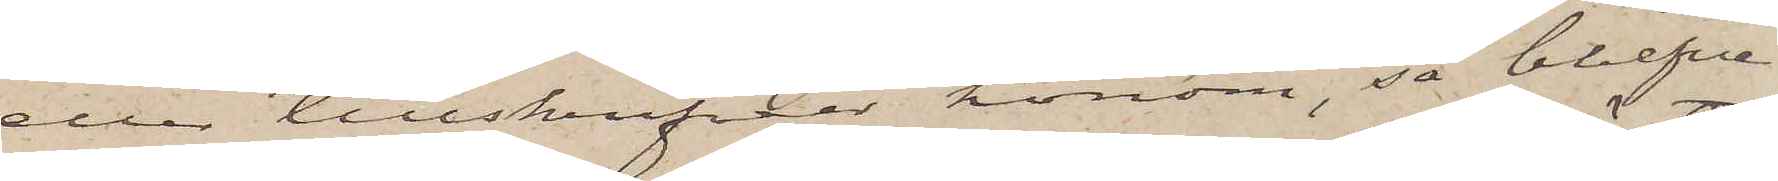eller tillskrifver honom, så blefve
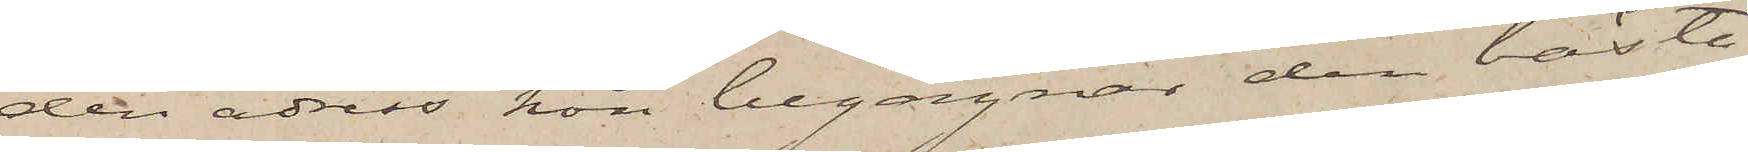den adress hon begagnar den bästa
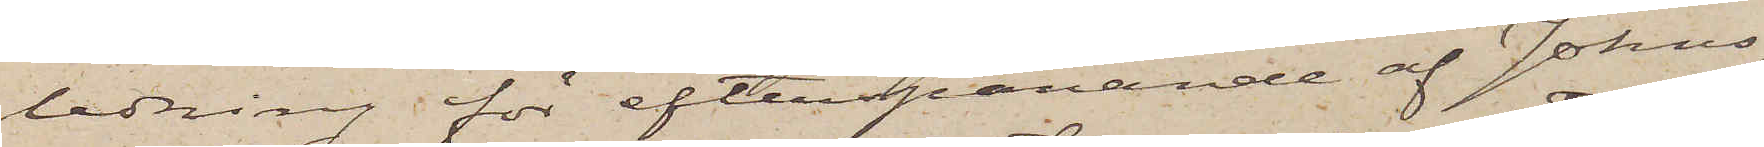ledning för efterspanande af Johns¬
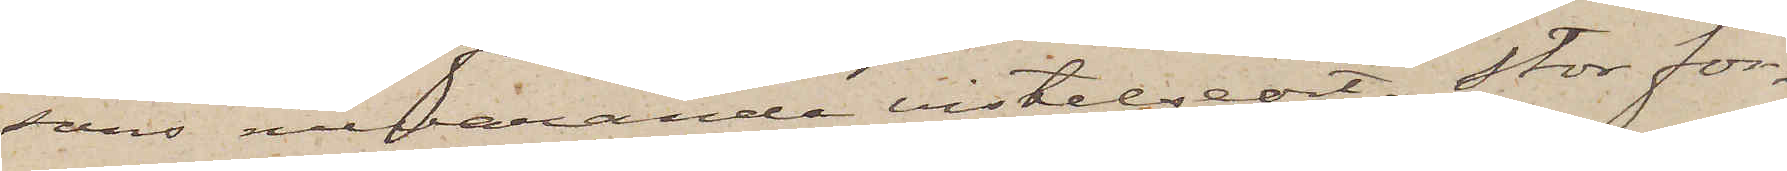sons nuvarande vistelseort. Stor för¬
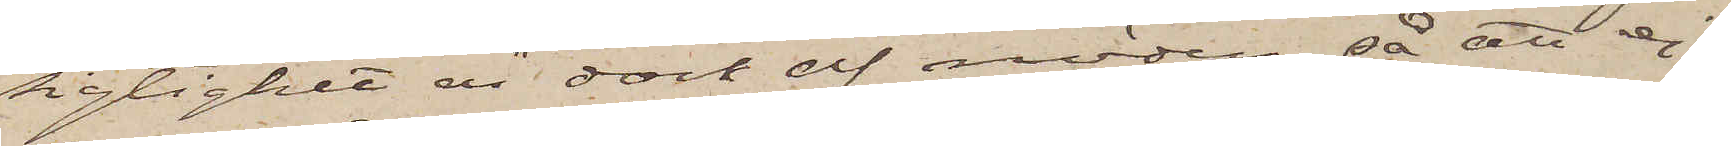sigtighet än dock af nöden, så att ej
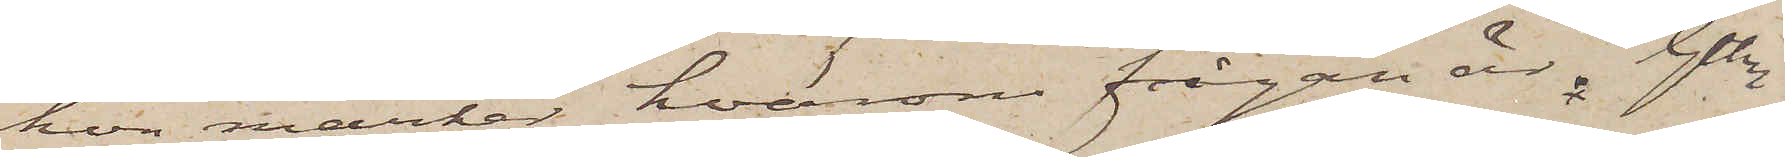hon märker, hvarom frågan är. Gtbrg
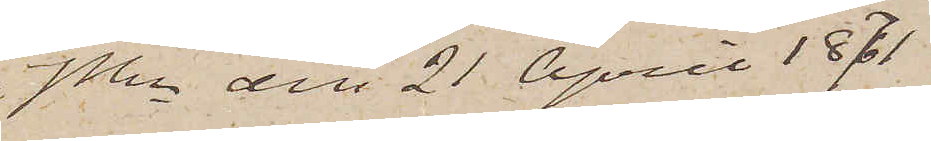i Pkn den 21 April 1871
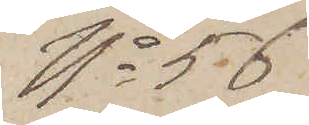No 56.
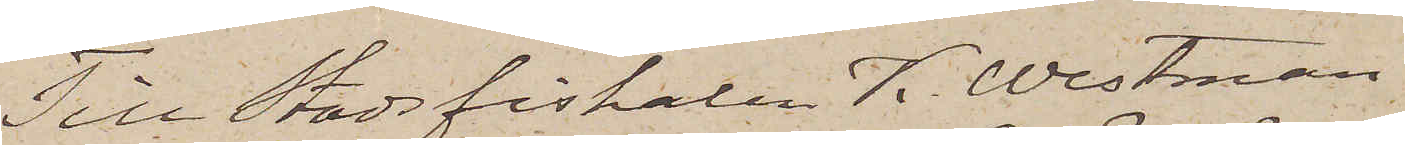Till Stadsfiskalen K. Westman,
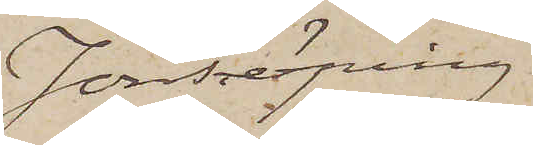Jönköping
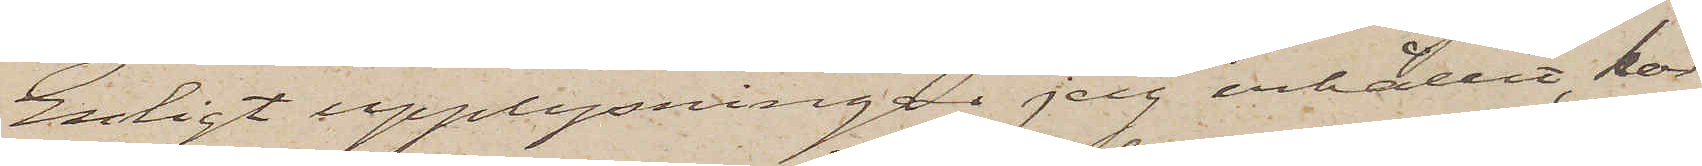Enligt upplysningar jag erhållit, lär
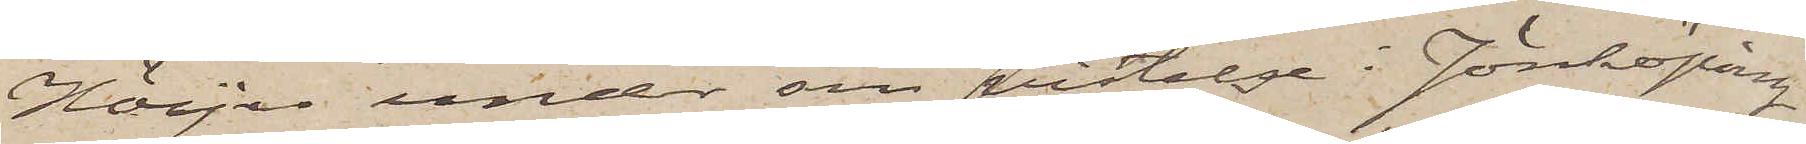Höijer under sin vistelse i Jönköping
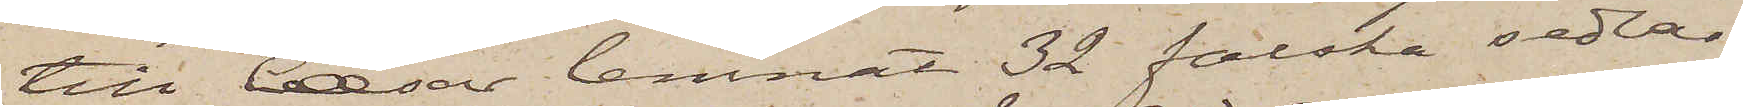till Cæsar lemnat 32 falska sedlar
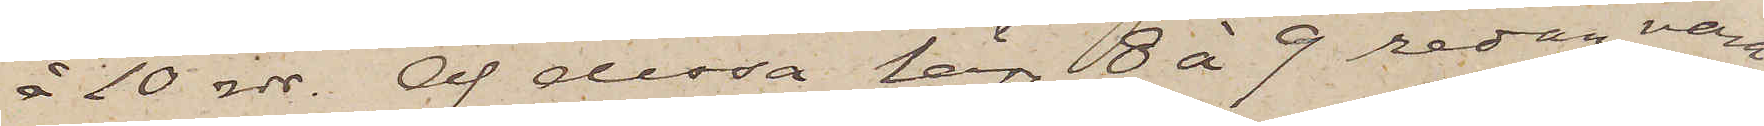å 10 rdr. Af dessa lär 8 à 9 redan vara
